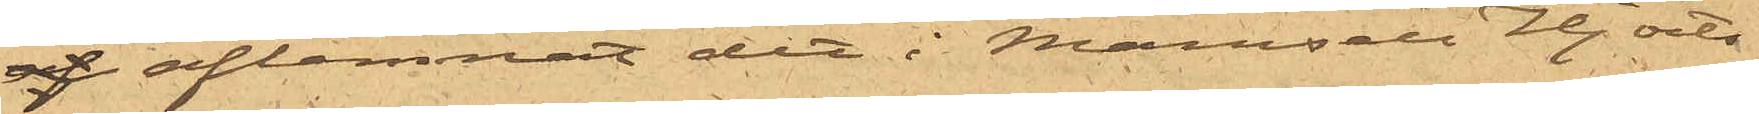af aflemnat det i Mamsell Hjorts
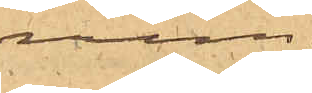rum.
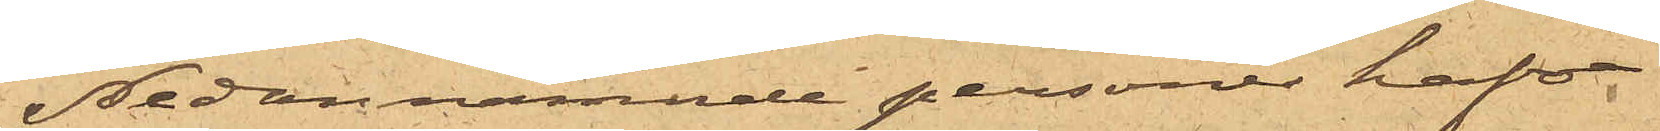Nedannämnde personer hafva
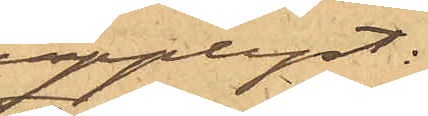upplyst:
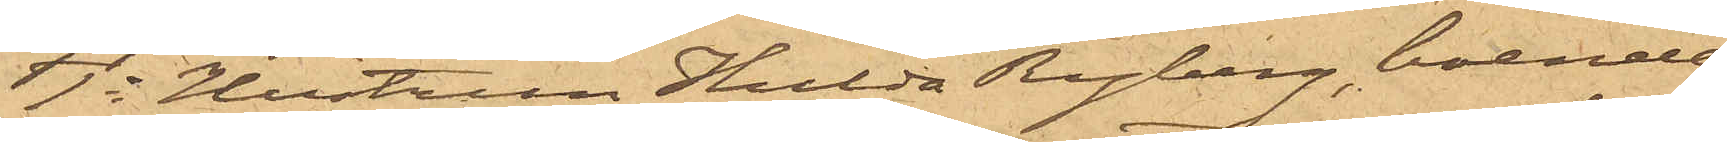1o Hustrun Hulda Ryberg, boende
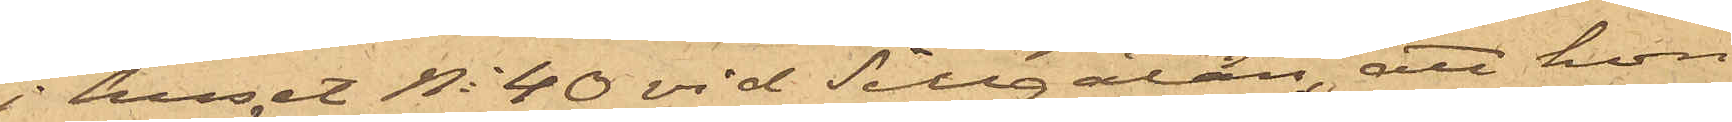i huset No 40 vid Sillgatan, att hon
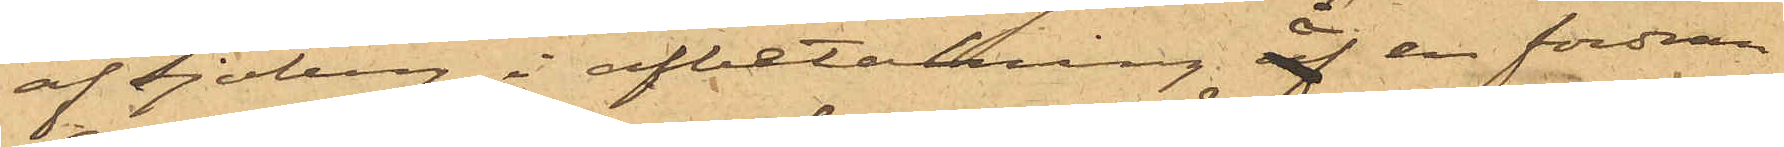af Sjöberg i afbetalning å en fordran
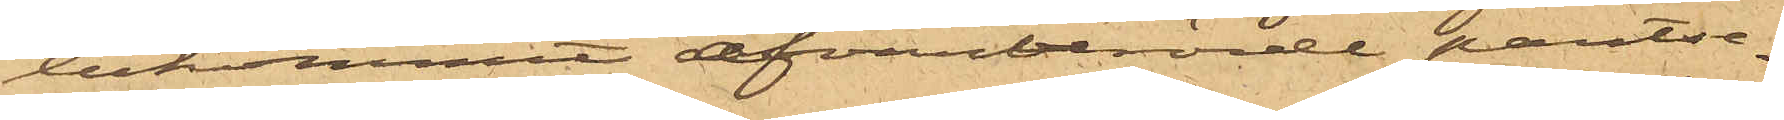bekommit ofvanberörde pantse¬
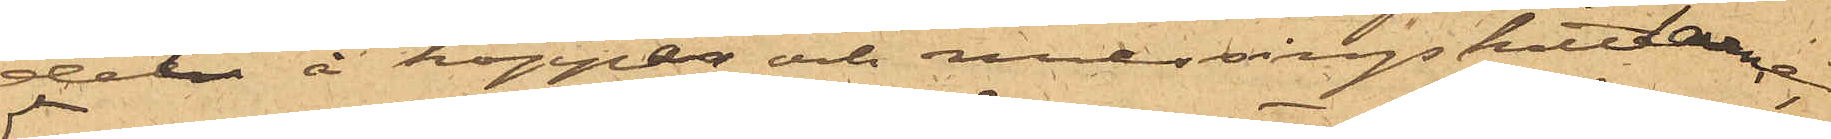del å koppar och messingskittlarne,
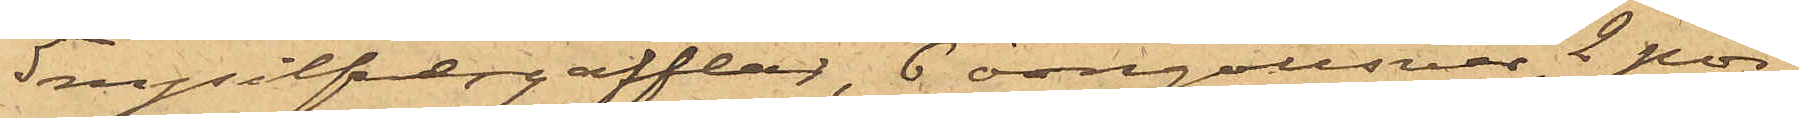5 nysilfvergafflar, 6 örngottsvar, 2 por¬
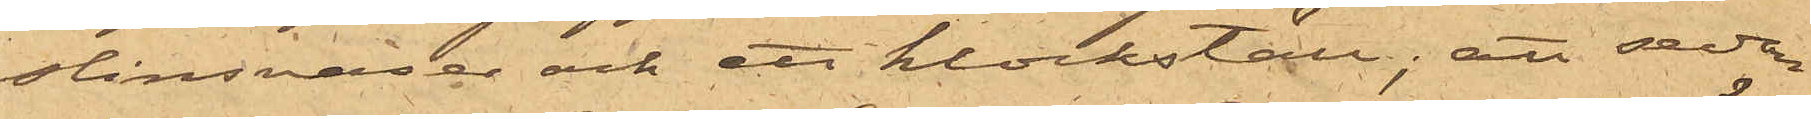slinsvaser och ett klockställ; att sedan
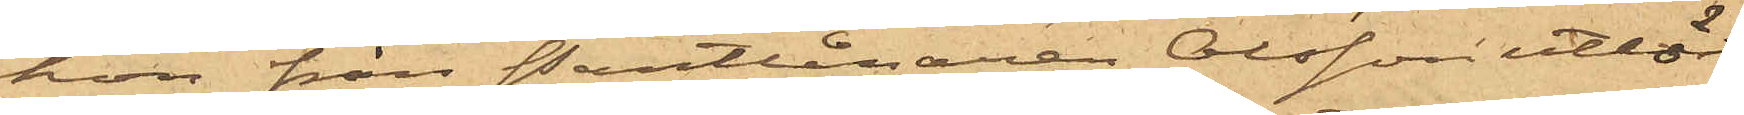hon från Pantlånaren Olsson utlöst
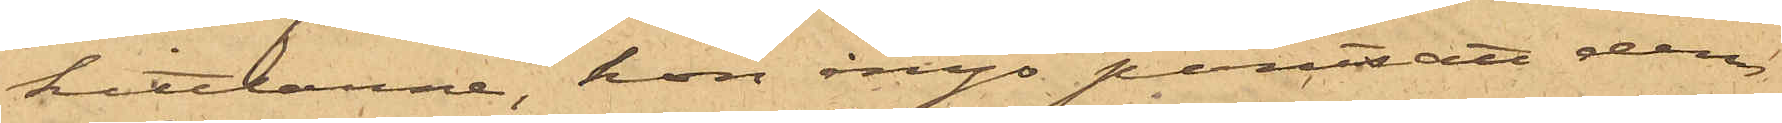kittlarne, hon ånyo pantsatt dem
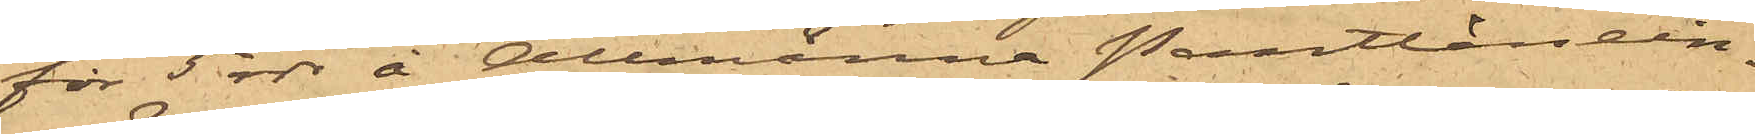för 5 rdr å Allmänna Pantlånein¬
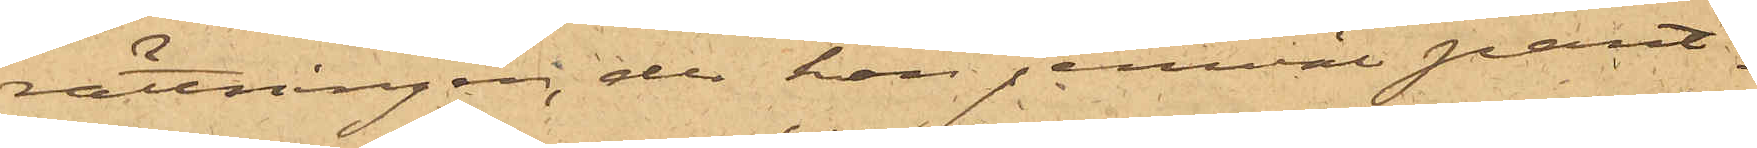rättningen, der hon jemväl pant¬
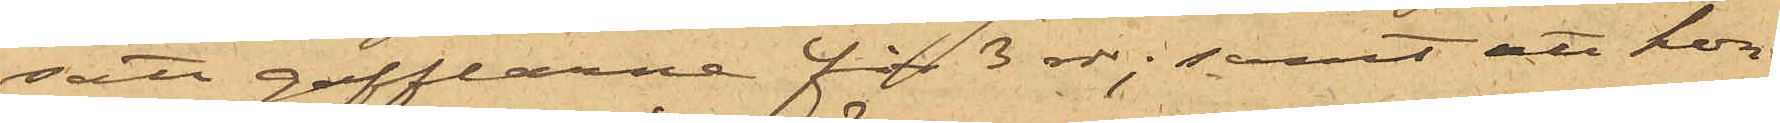satt gafflarne för 3 rdr; samt att hon
